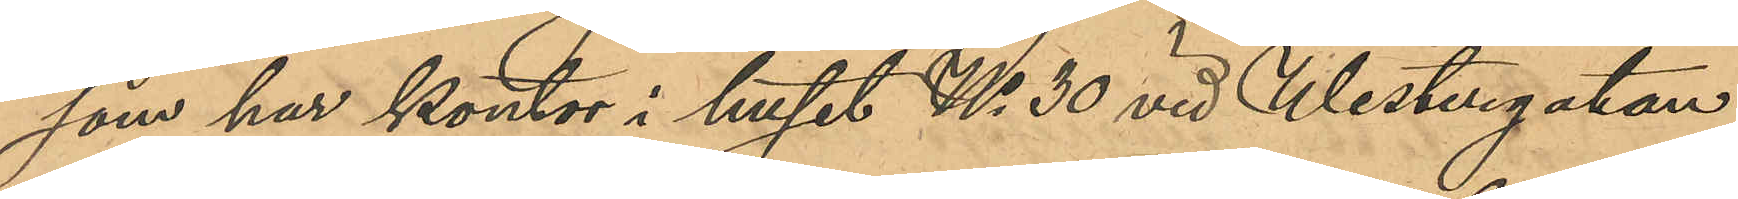som har kontor i huset No 30 vid Westergatan,
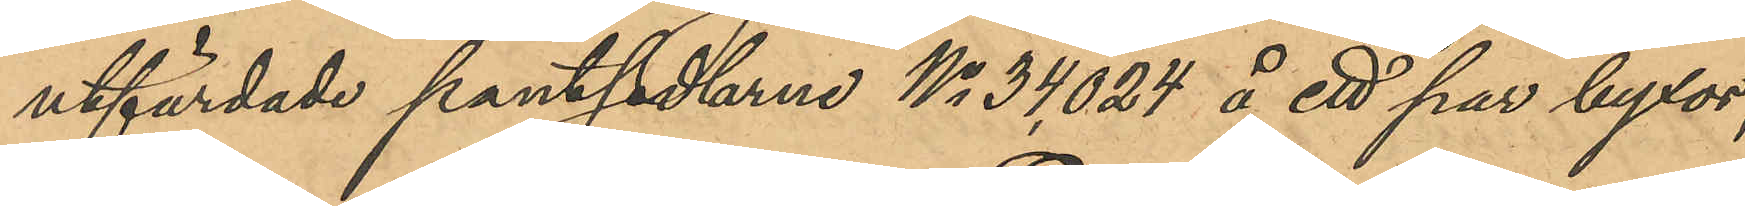utfärdade pantsedlarne No 34,024 å ett par byxor,
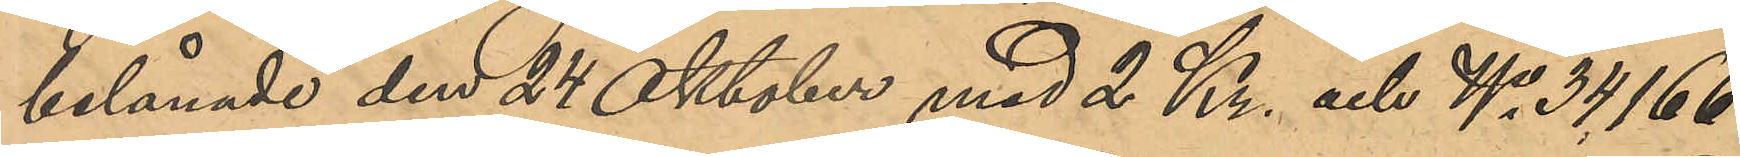belånade den 24 Oktober med 2 Kr. och No 34,166
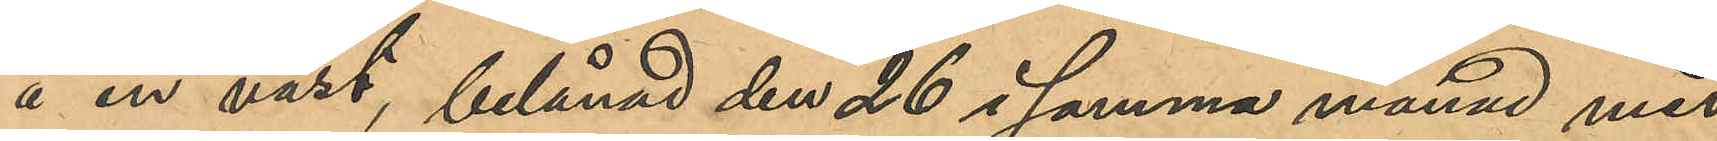å en väst, belånad den 26 i samma månad med
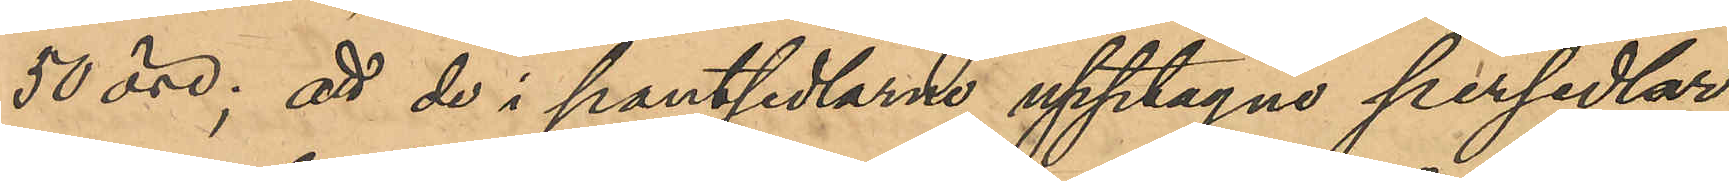50 öre; att de i pantsedlarne upptagna persedlar¬
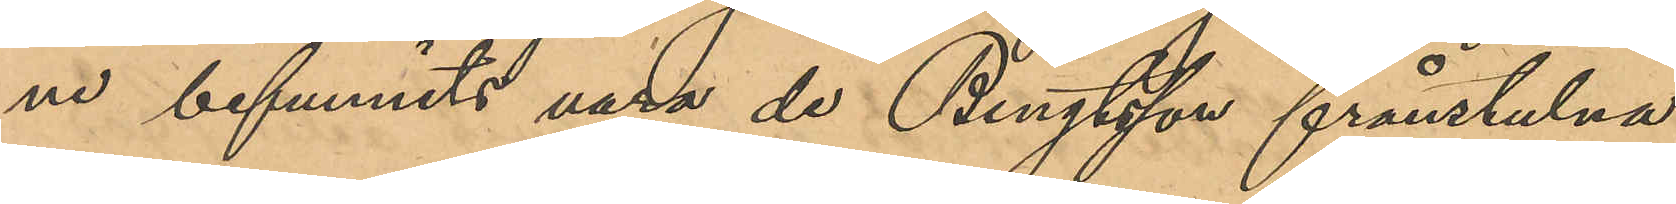ne befunnits vara de Bengtsson frånstulna
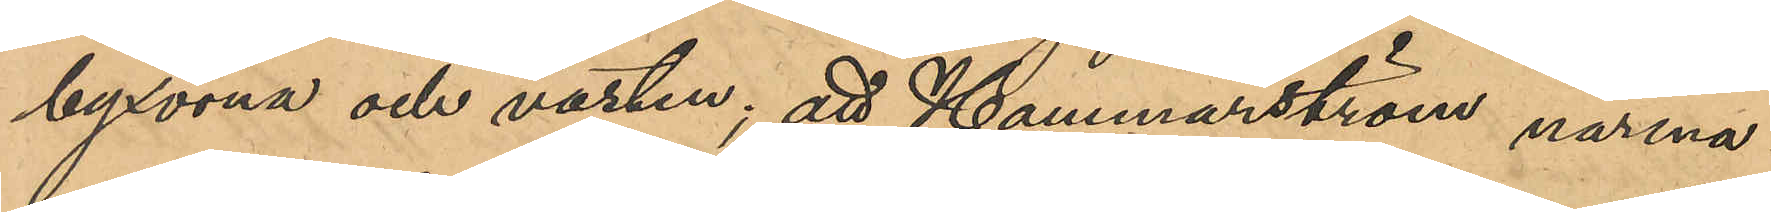byxorna och västen; att Hammarström närma¬
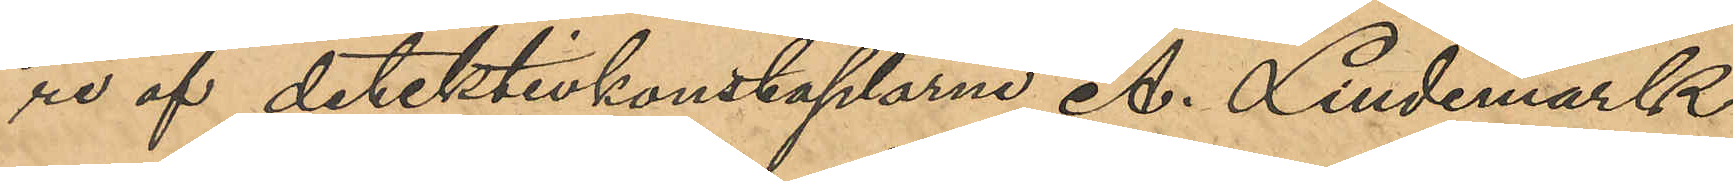re af detektivkonstaplarne A. Lindemark
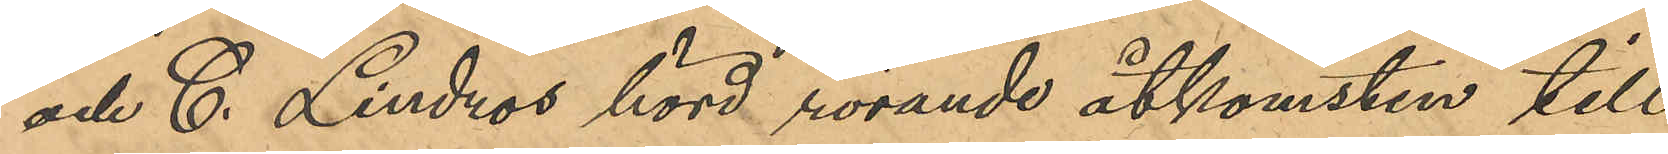och C. Lindros hörd rörande åtkomsten till
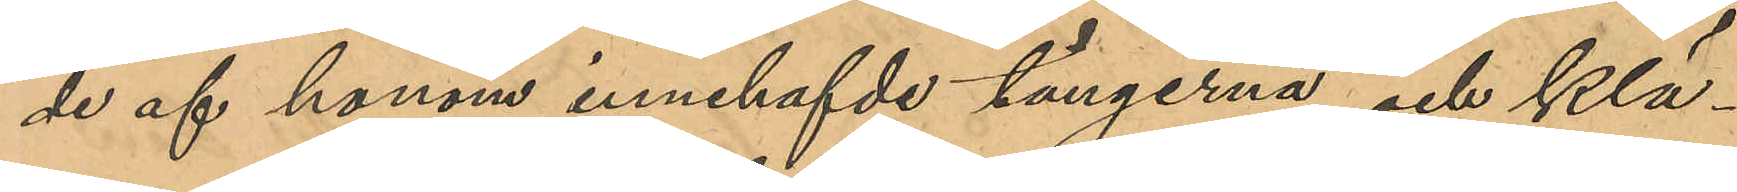de af honom innehafvde tängerna och klä¬
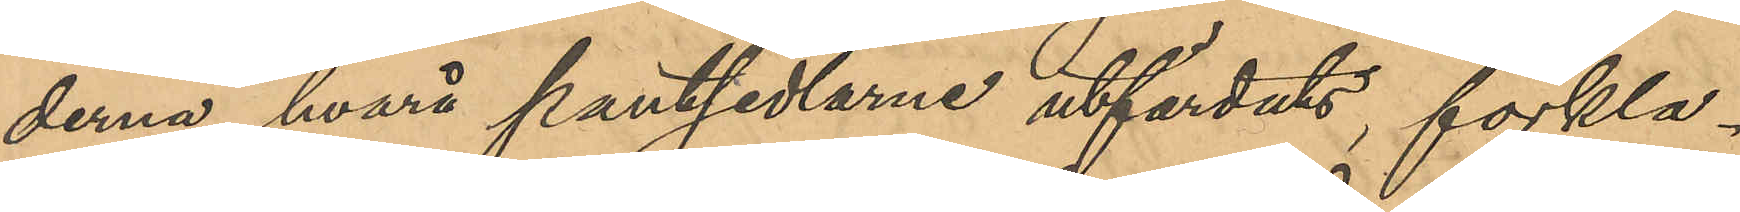derna, hvarå pantsedlarne utfärdats, förkla¬
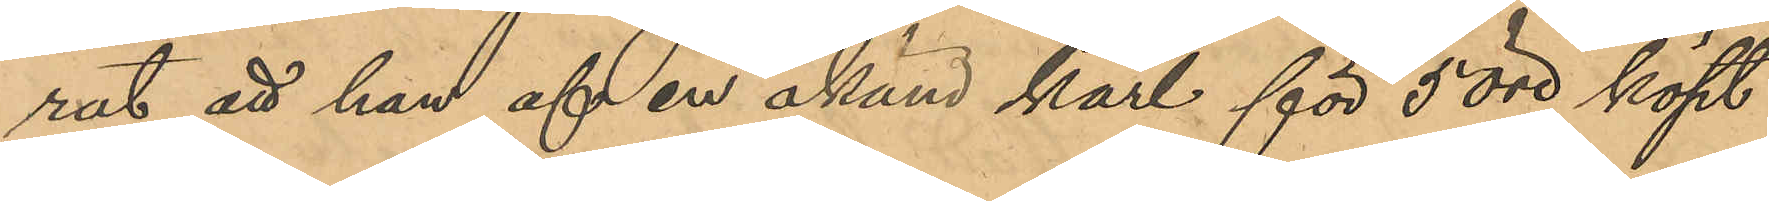rat att han af en okänd karl för 5 öre köpt
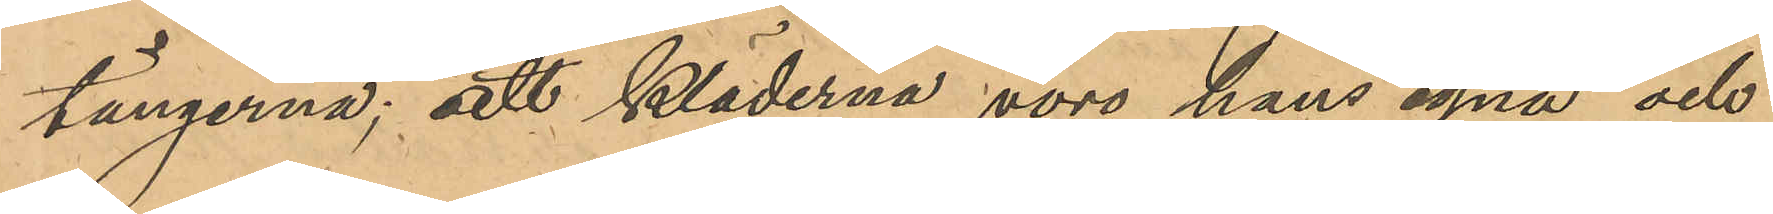tängerna; att kläderna vore hans egna och
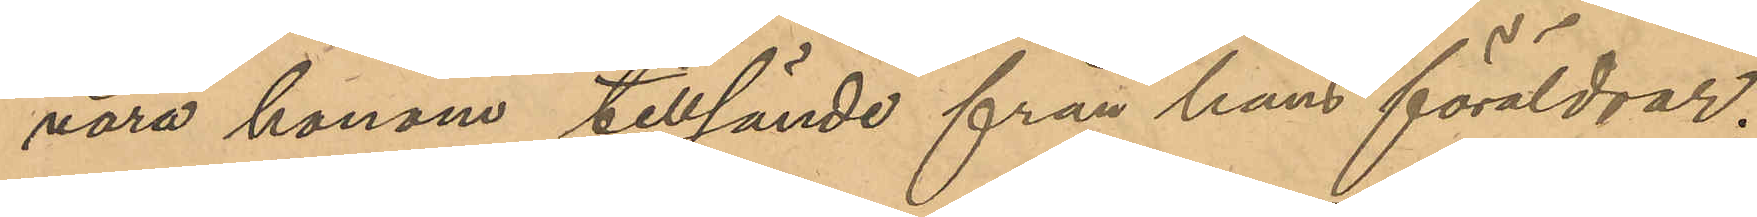voro honom tillsände från hans föräldrar;
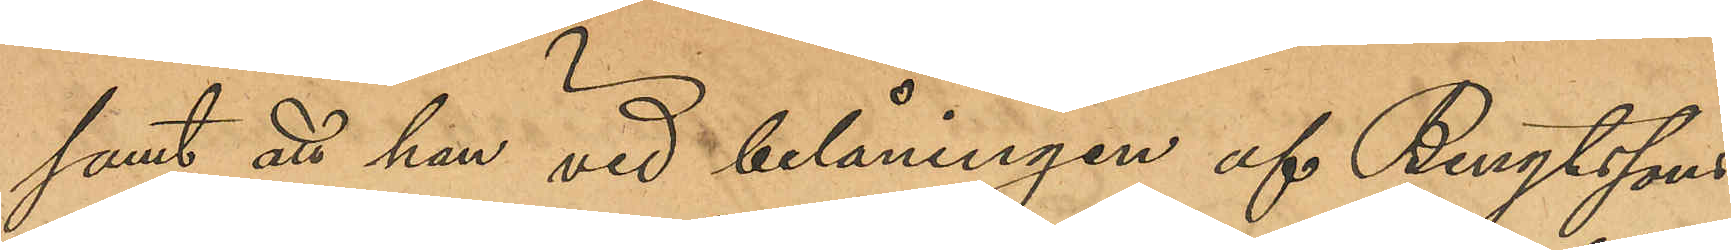samt att han vid belåningen af Bengtssons
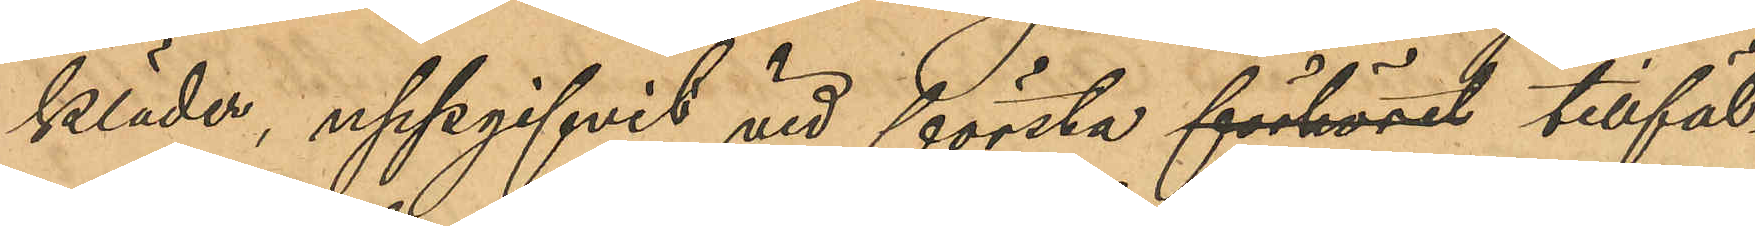kläder, uppgifvit vid första förhöret tillfäl¬
